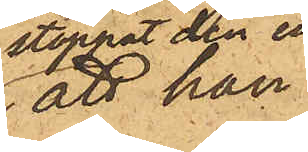att han
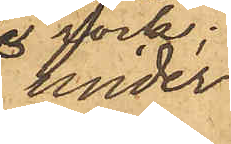under
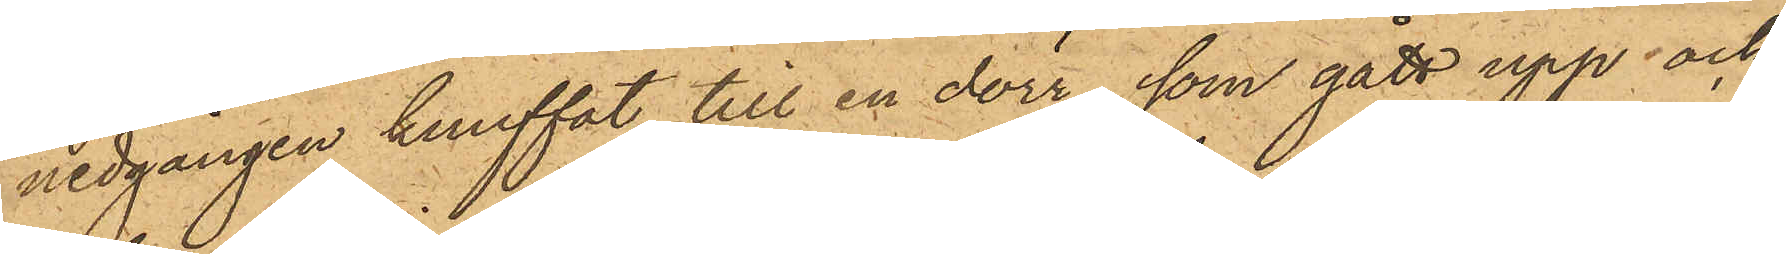nedgången knuffat till en dörr, som gått upp och
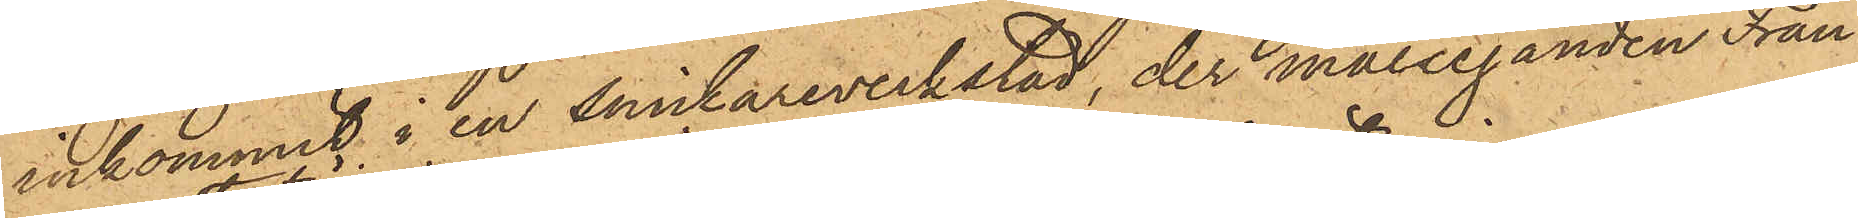inkommit i en snickareverkstad, der målseganden Fran¬
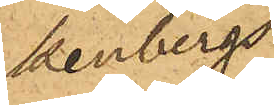kenbergs
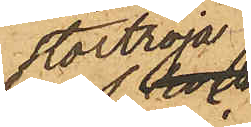stortröja
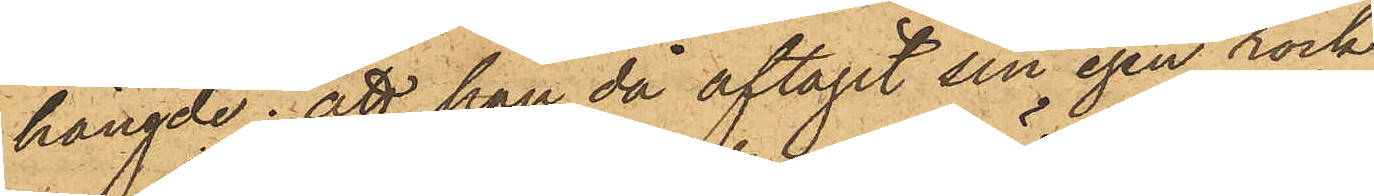hängde; att han då aftagit sin egen rock
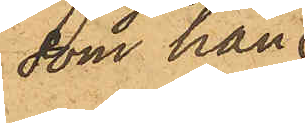som han
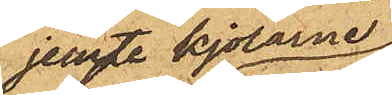jemte kjolarne.
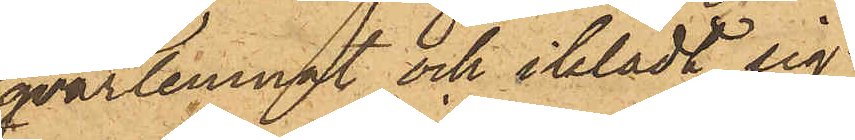qvarlemnat och iklädt sig.
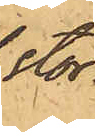stor¬
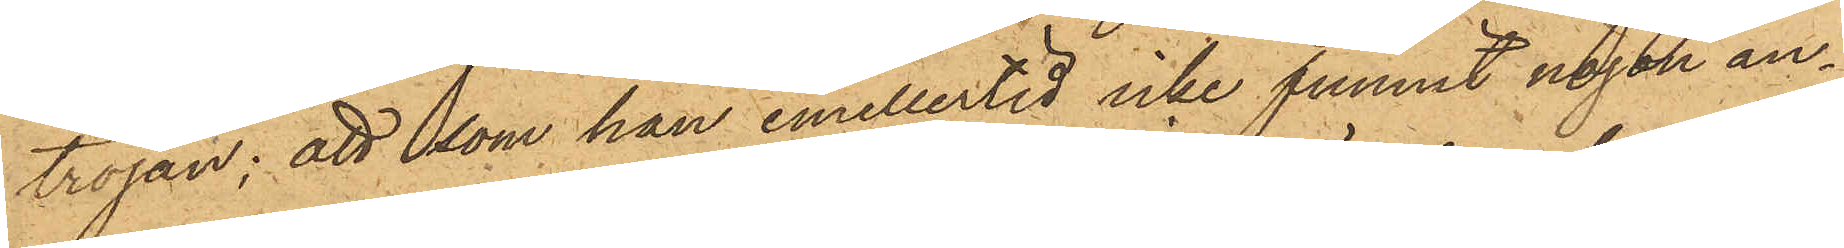tröjan; att som han emellertid icke funnit någon an¬
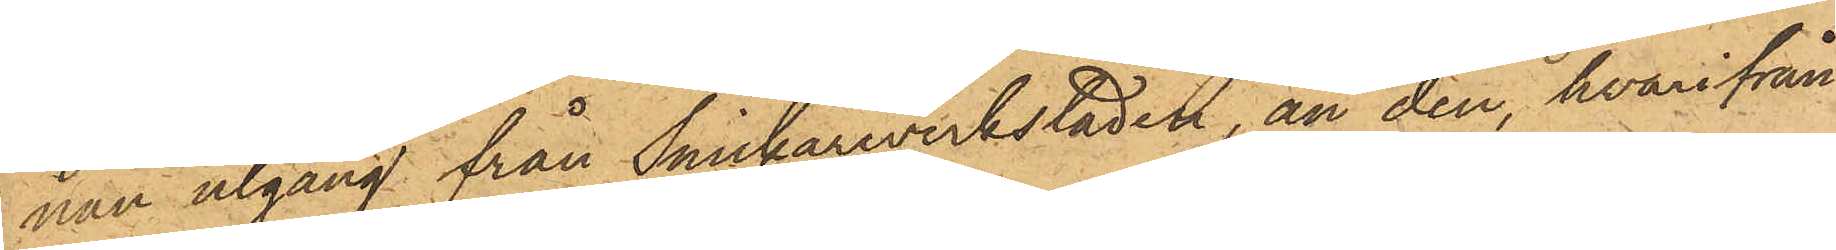nan utgång från Snickareverkstaden, än den, hvarifrån
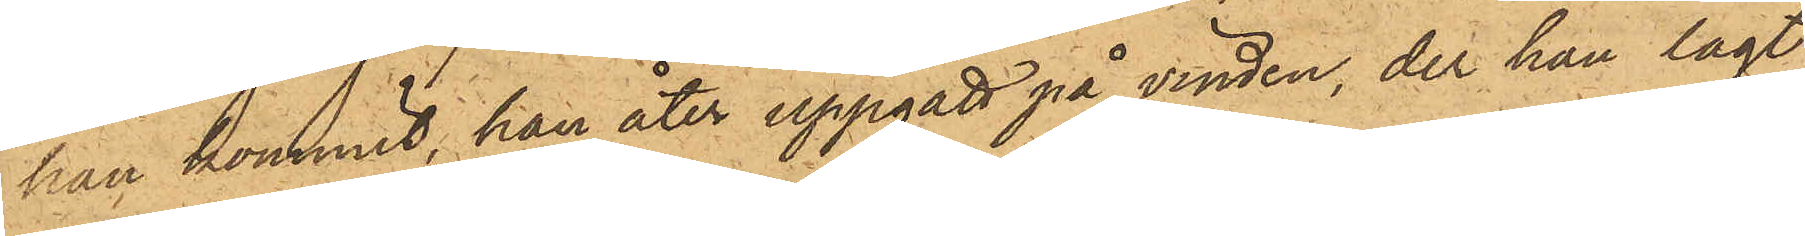han kommit, han åter uppgått på vinden, der han lagt
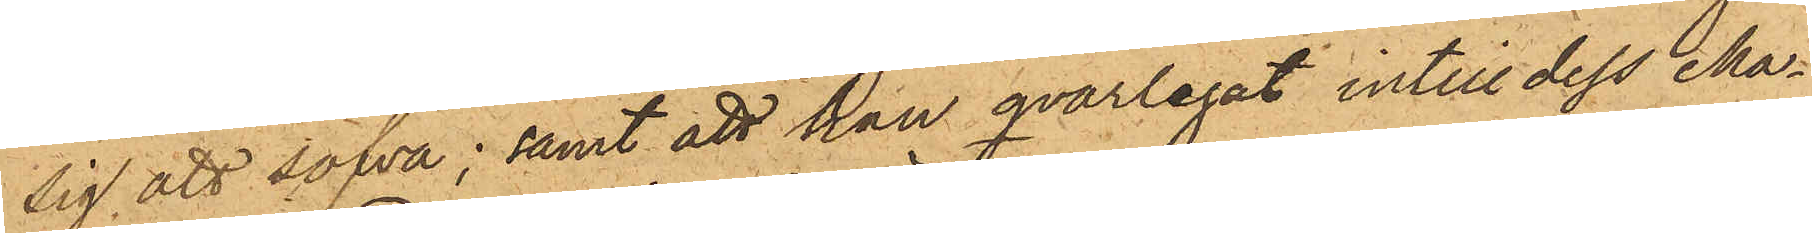sig att sofva; samt att han qvarlegat intill dess Ma¬
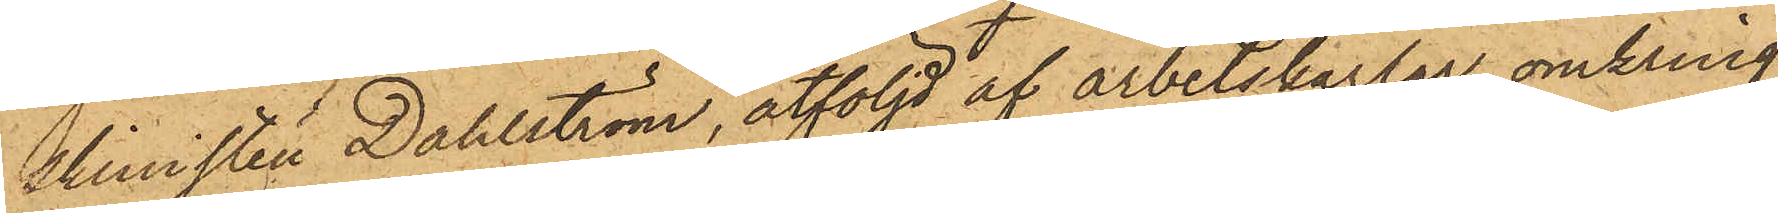skinisten Dahlström, åtföljd af arbetskarlar, omkring
